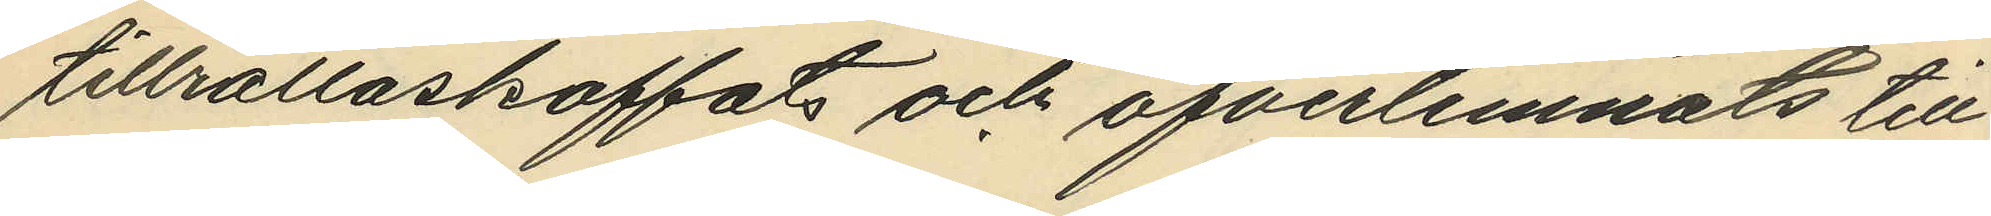tillrättaskaffats och öfverlemnats till
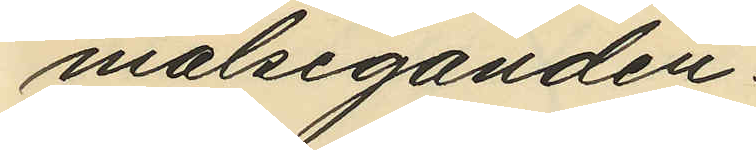målseganden.
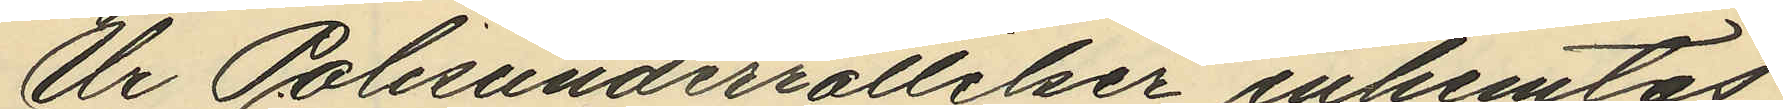Ur Polisunderrättelser inhemtas
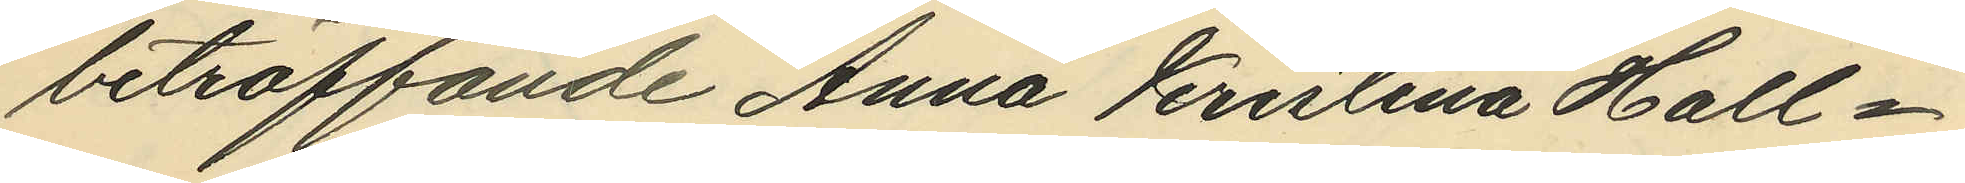beträffande Anna Kristina Hall¬
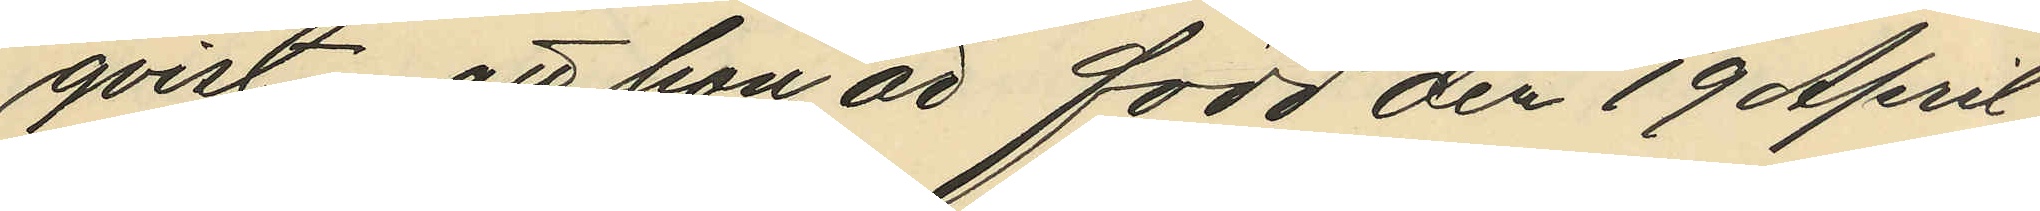qvist, att hon är född den 19 April
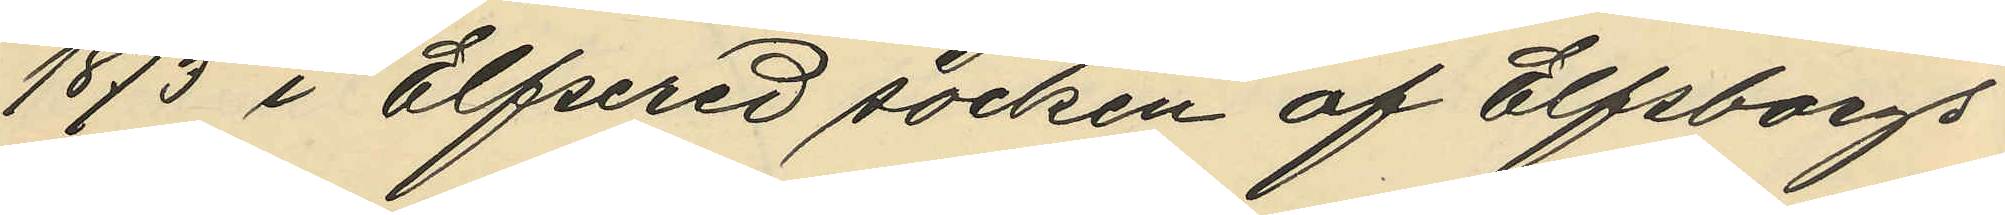1873 i Elfsered socken af Elfsborgs
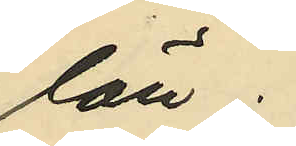län;
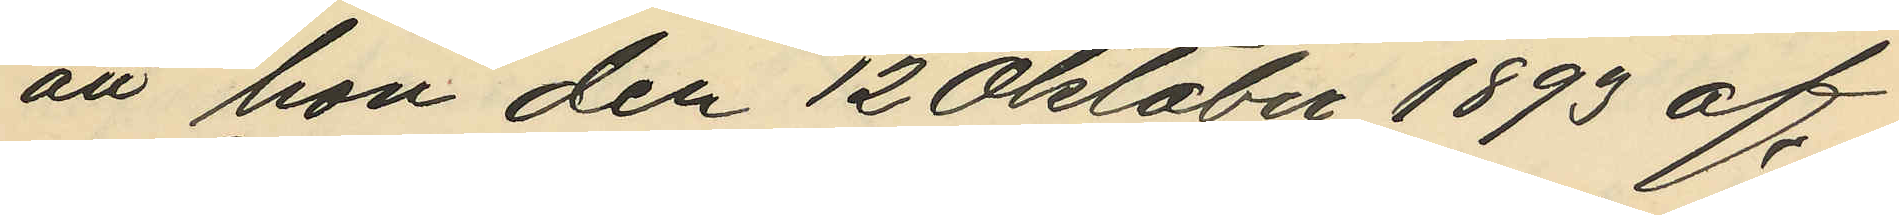att hon den 12 Oktober 1893 af
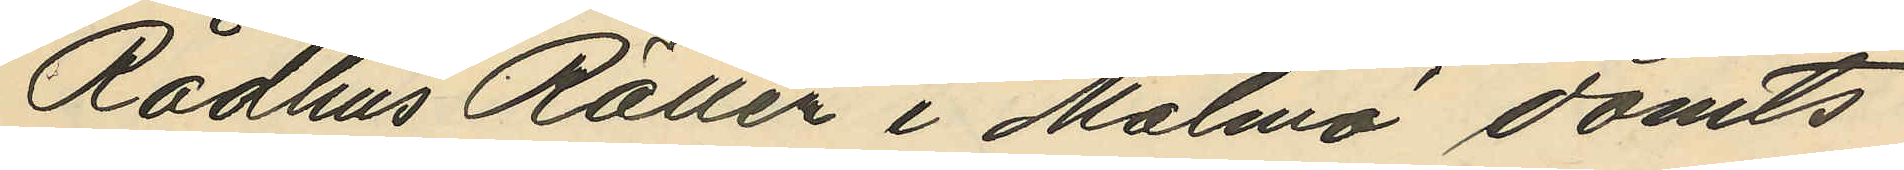Rådhus Rätten i Malmö dömts
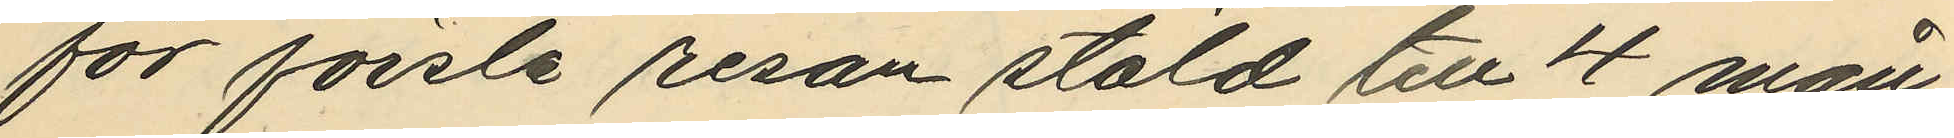för första resan stöld till 4 mån
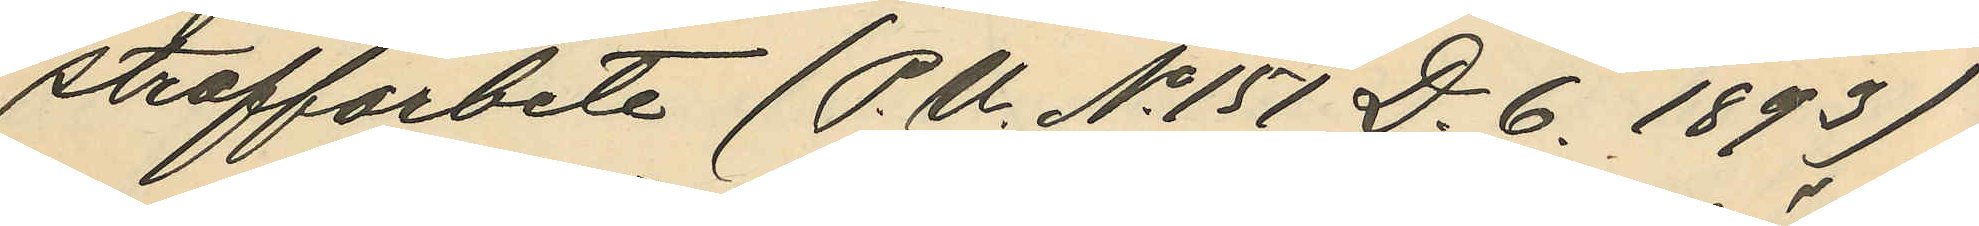straffarbete (P. U. No 151 D. 6. 1893)
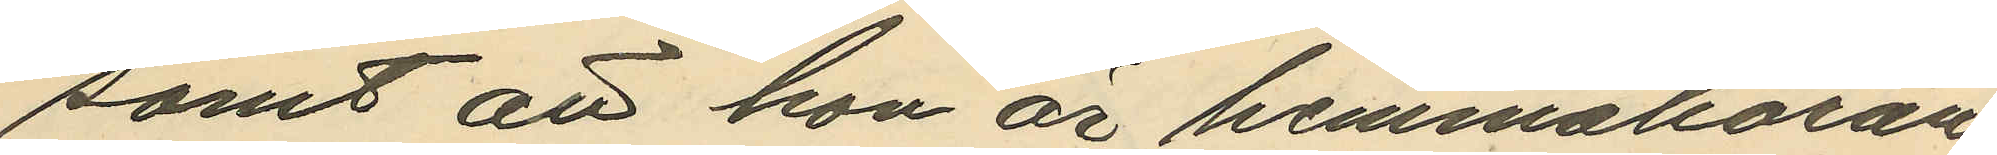samt att hon är hemmahöran¬
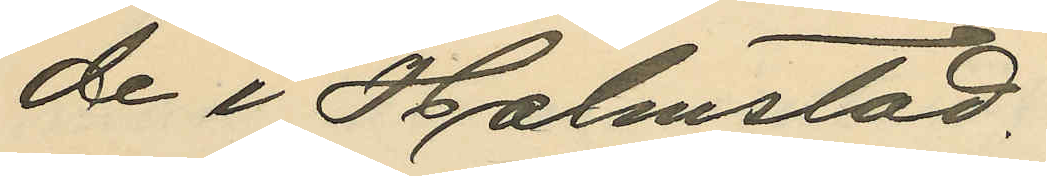de i Halmstad.
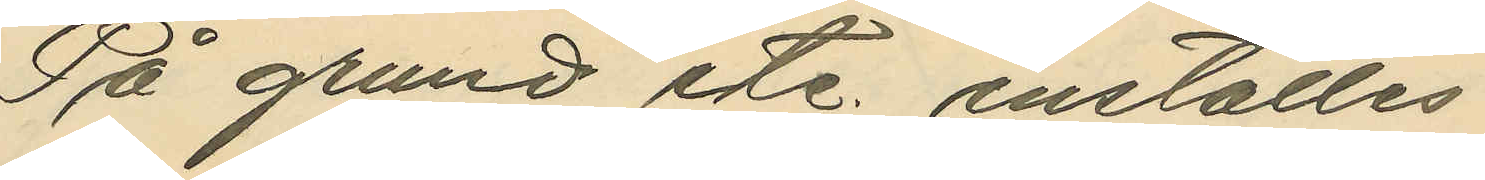På grund etc. inställes
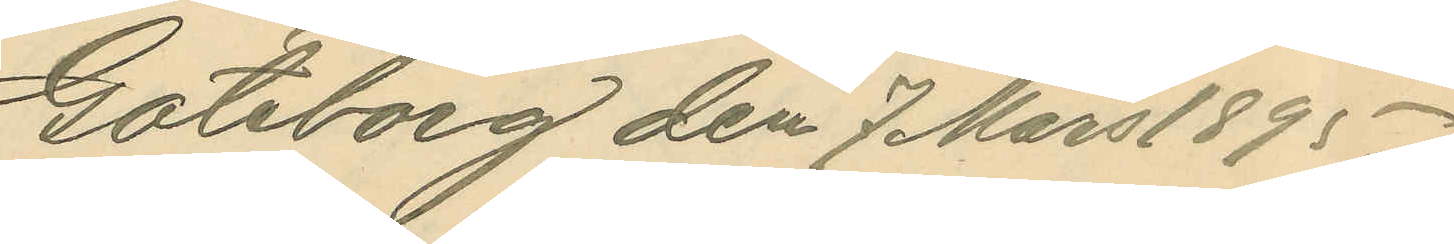Göteborg den 7 Mars 1895.
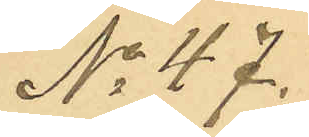No 47.
